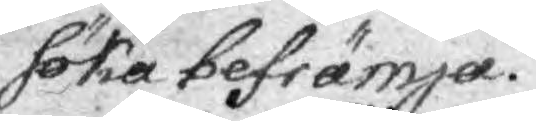söka befrämja.
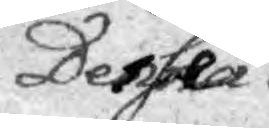Desse 
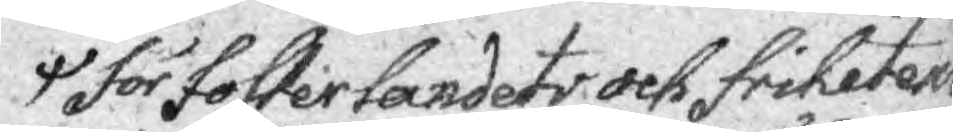för fosterlandets och frihetens
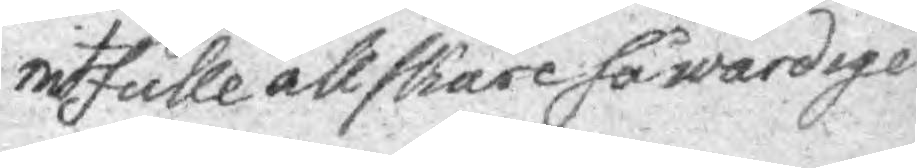nitfulle ällskare så wärdige
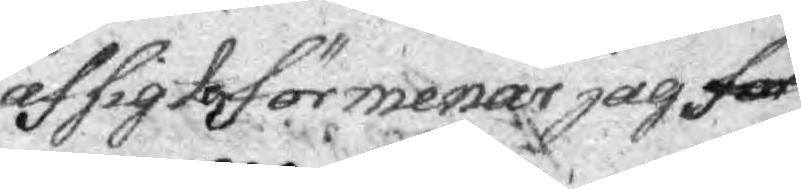afsigter förmenar jag för¬
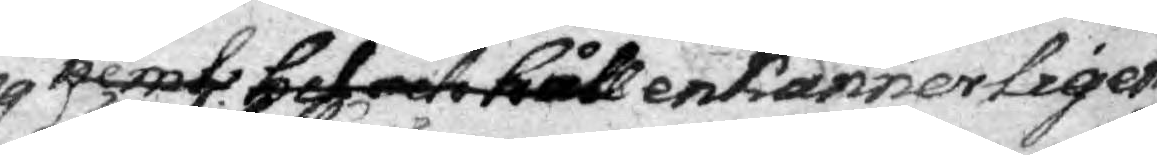nemt beleto håll enkannerligen
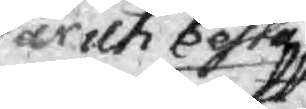wara är uti bestå
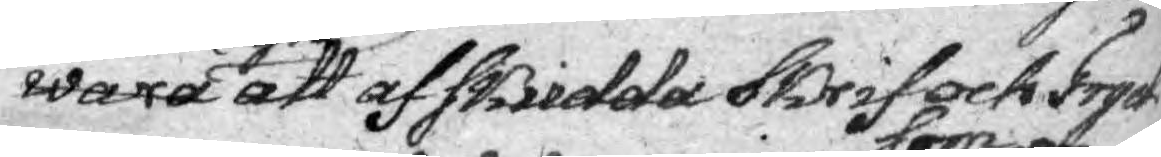att af skridda Skrif och Tryck¬
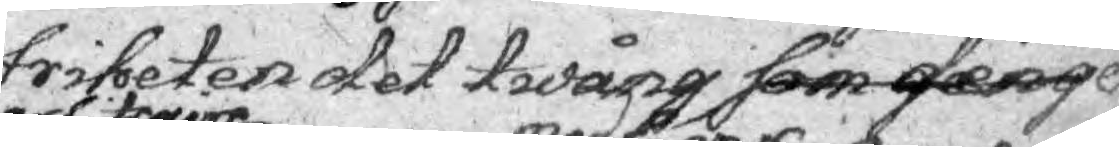friheten det twång som den ge¬
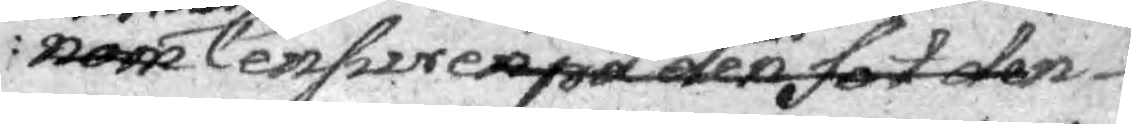nom arbitraire Censuren medförer på den fot den 
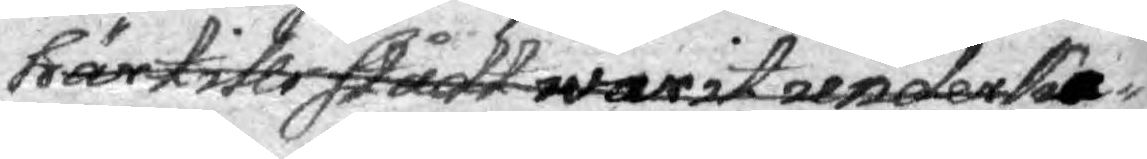härtills stådt warit underka¬
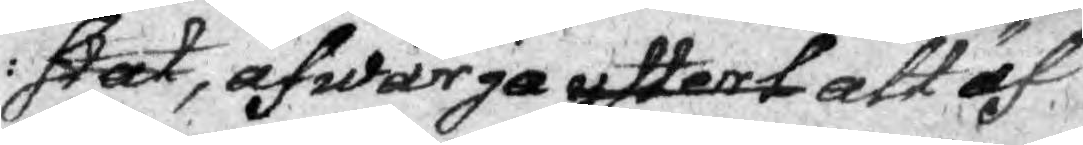stat, afwärga yttert att äf¬
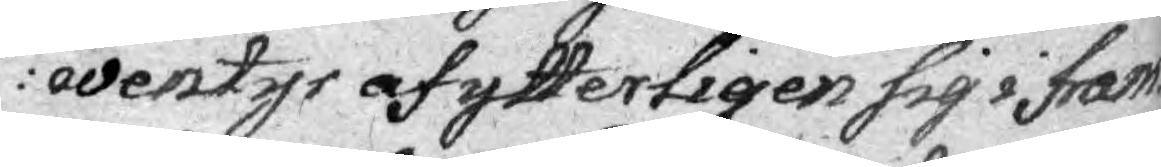wentyr af ytterligen sig i Fram¬
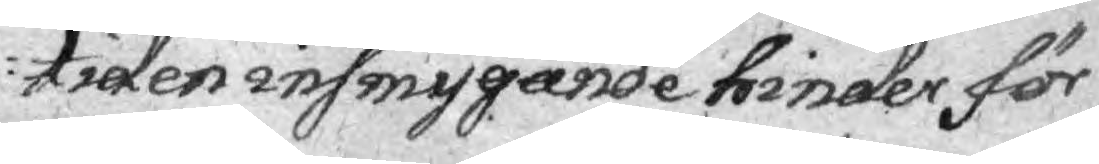tiden insmygande hinder för
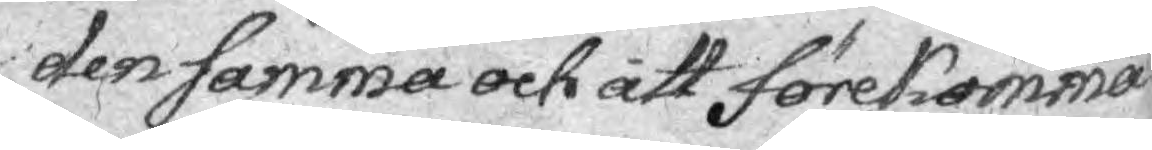den samma och att förekomma
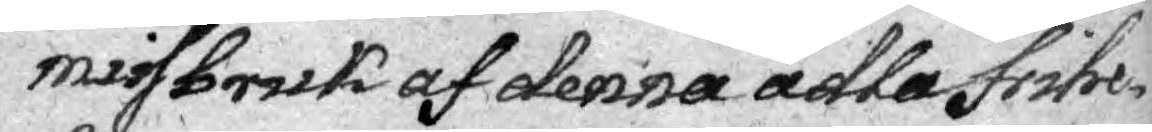missbruk af denna ädla frihe¬
